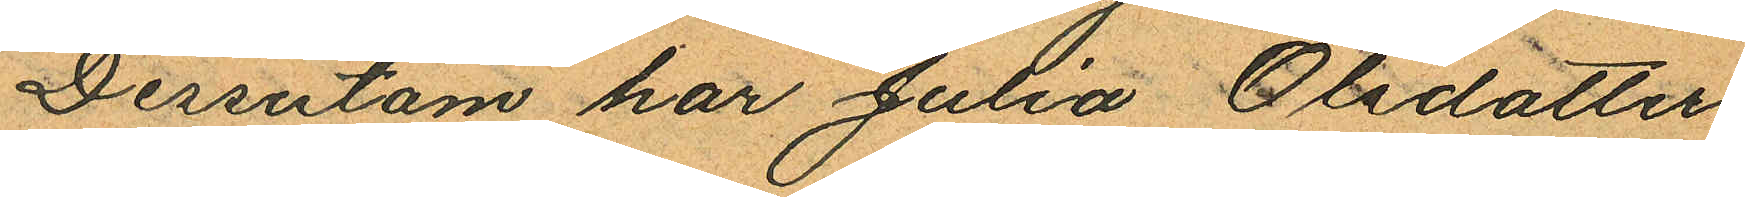Dessutom har Julia Olsdotter
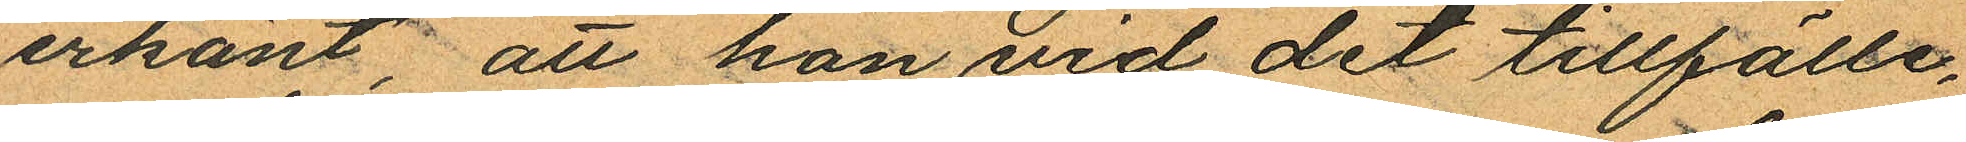erkänt, att hon vid det tillfälle,
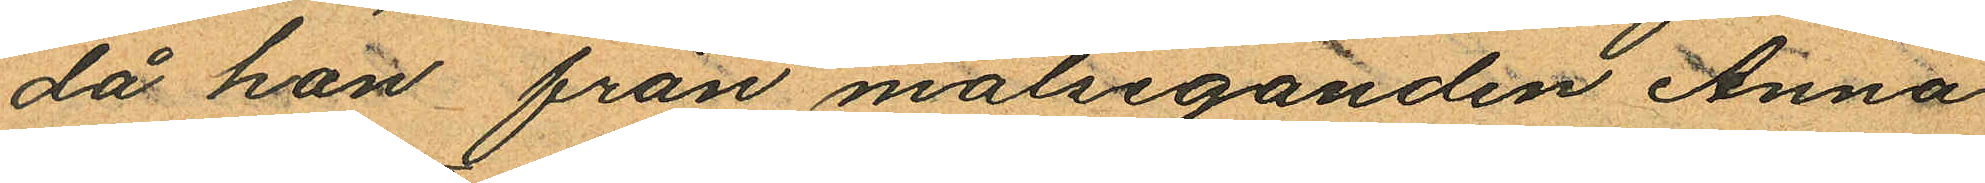då hon från målseganden Anna
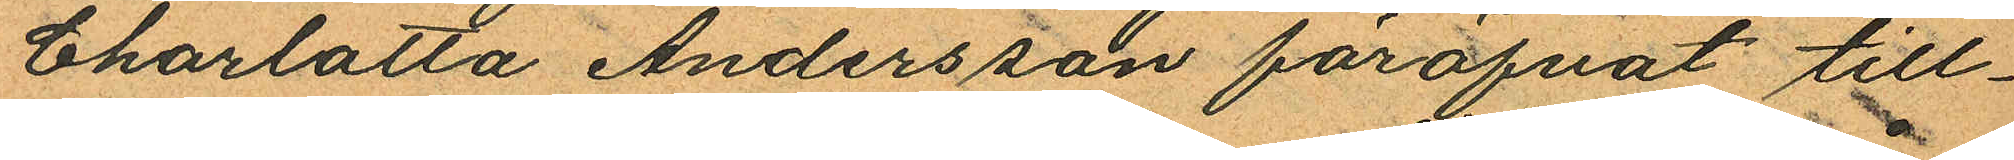Charlotta Andersson föröfvat till¬
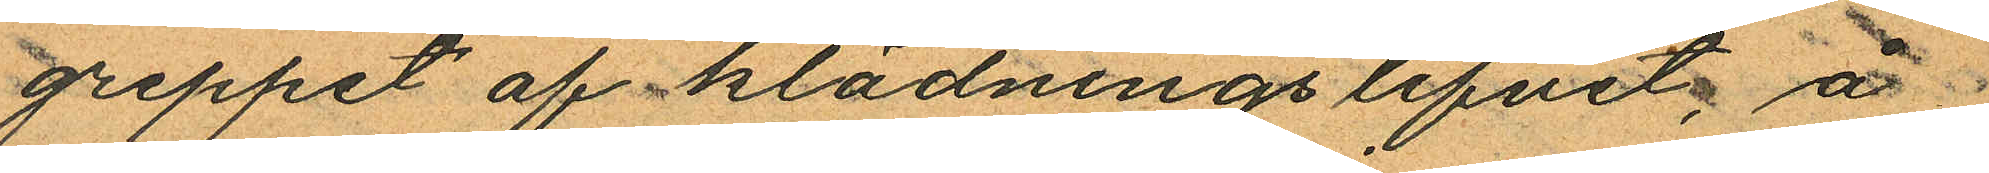greppet af klädningslifvet, å
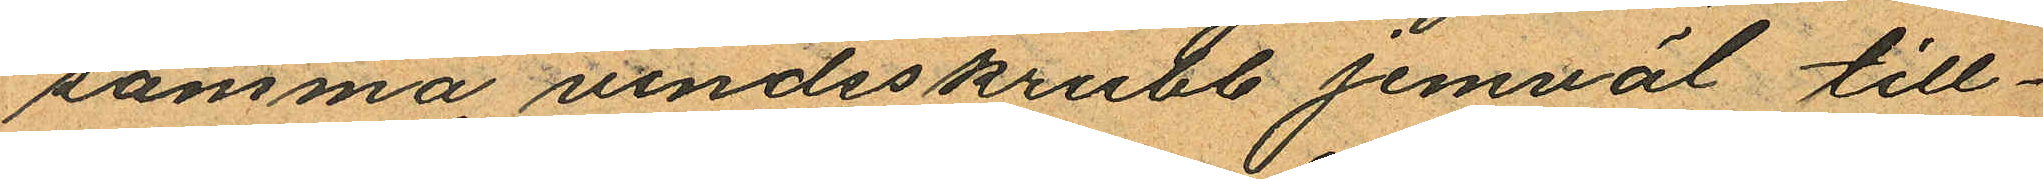samma vindsskrubb jemväl till¬
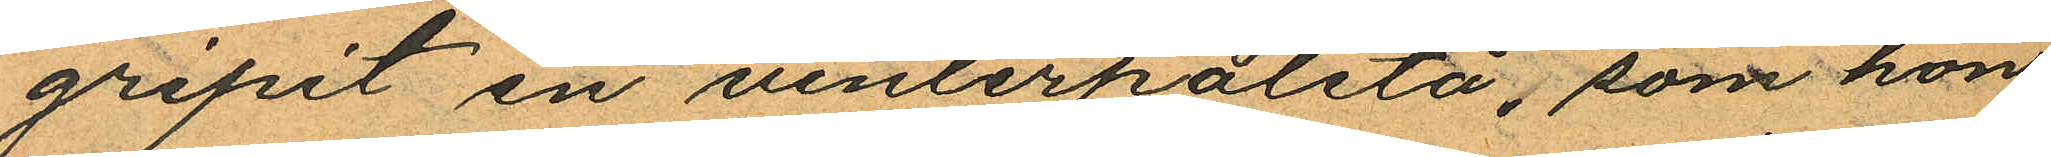gripit en vinterpaletå, som hon
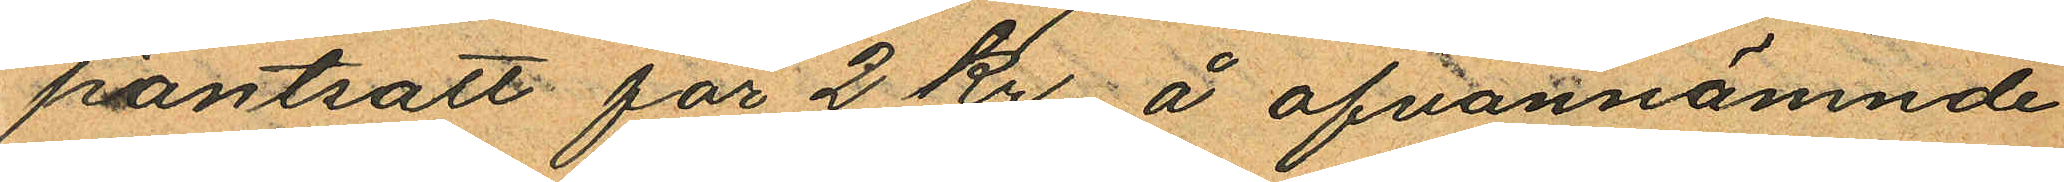pantsatt för 2 kr å ofvannämnde
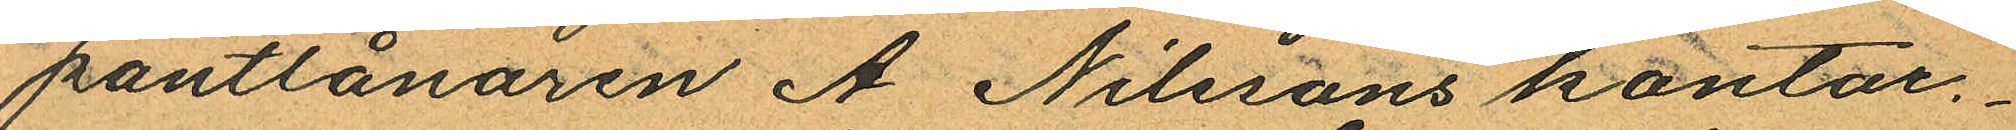pantlånaren A Nilssons kontor.
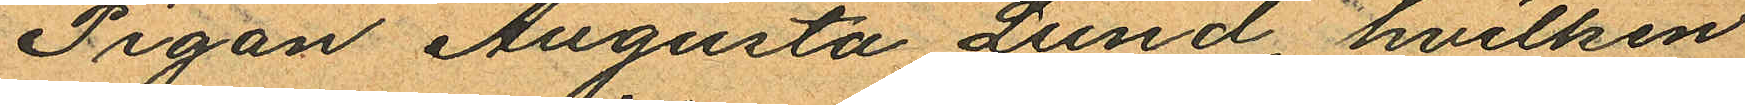Pigan Augusta Lund, hvilken
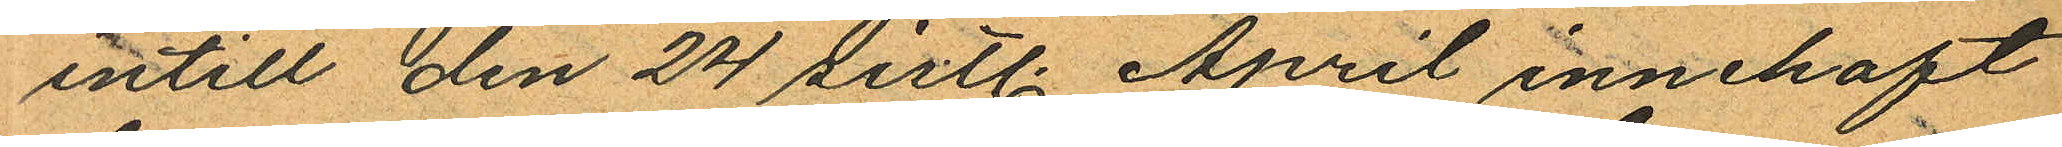intill den 24 sistl. April innehaft
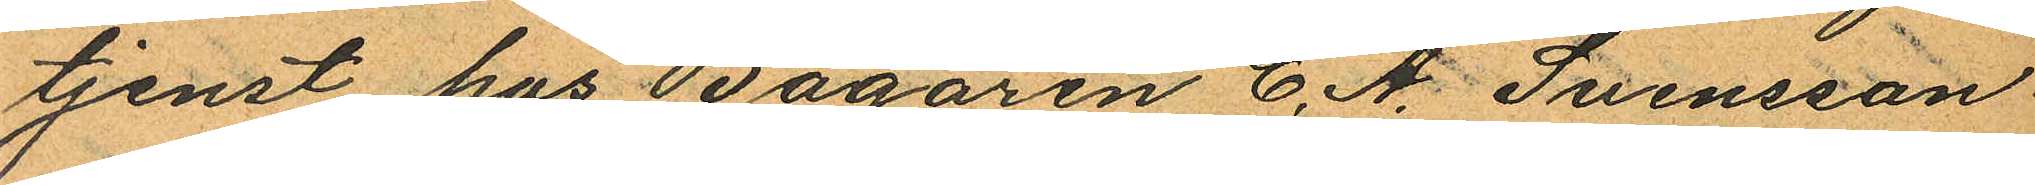tjenst hos Bagaren C. A. Svensson
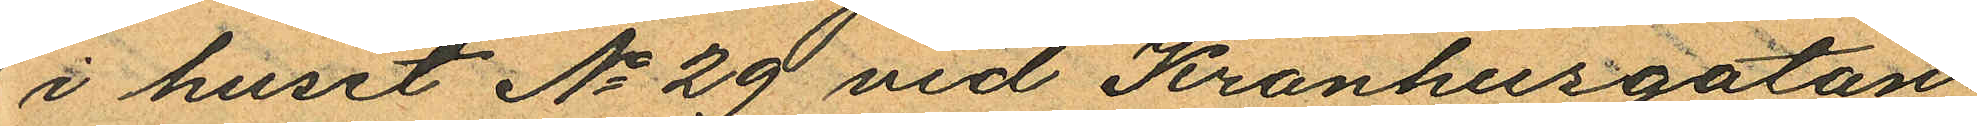i huset No 29 vid Kronhusgatan
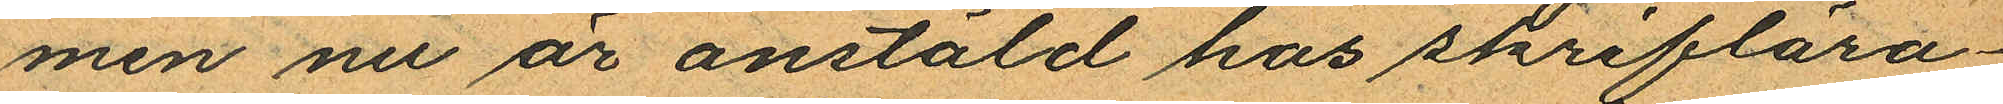men nu är anstäld hos skriflära¬
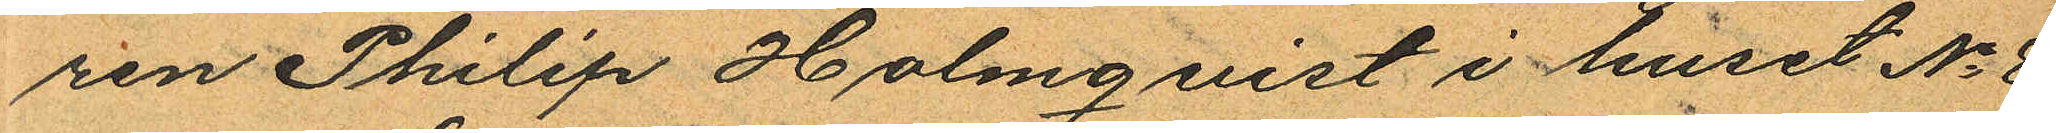ren Philip Holmqvist i huset No 8
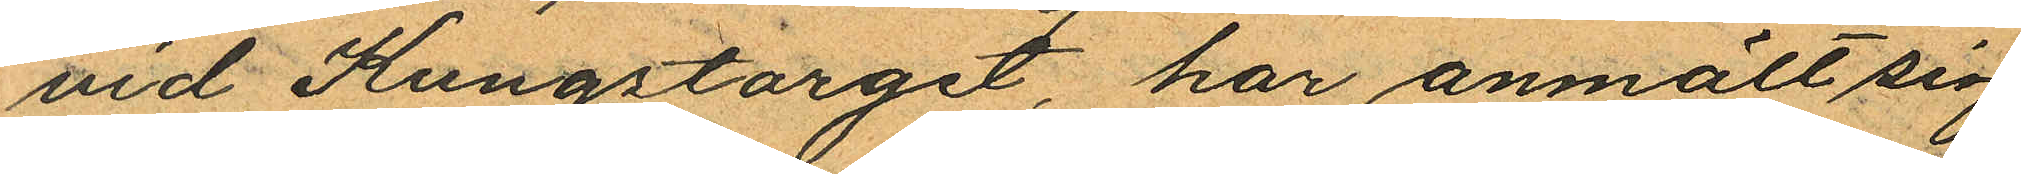vid Kungstorget, har anmält sig
